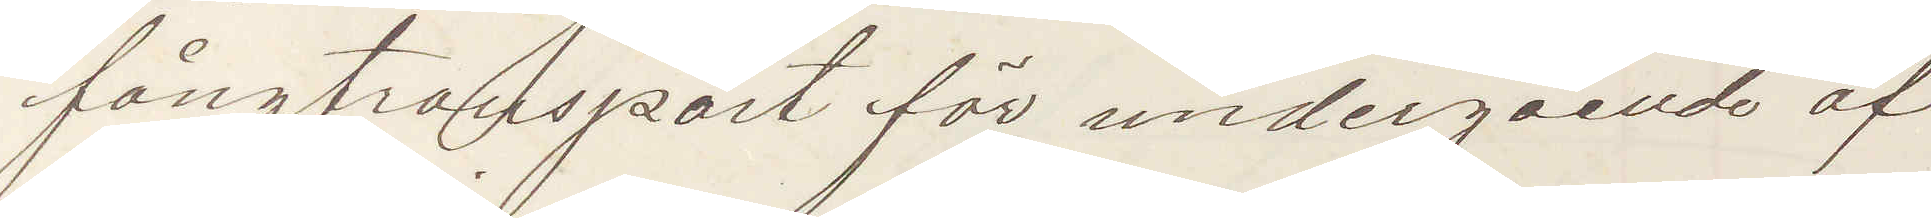fångtransport för undergående af
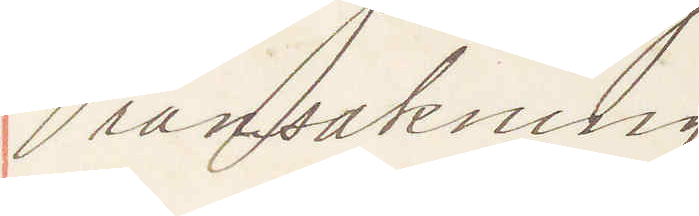ransakning.
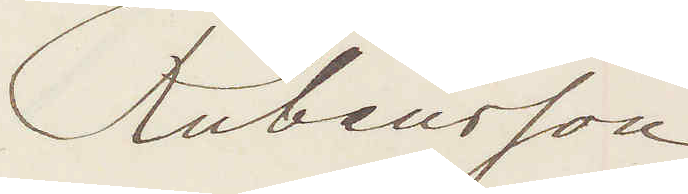Rubensson
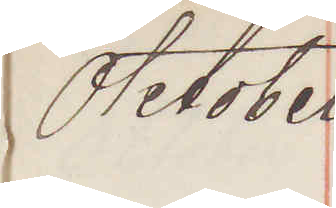Oktober
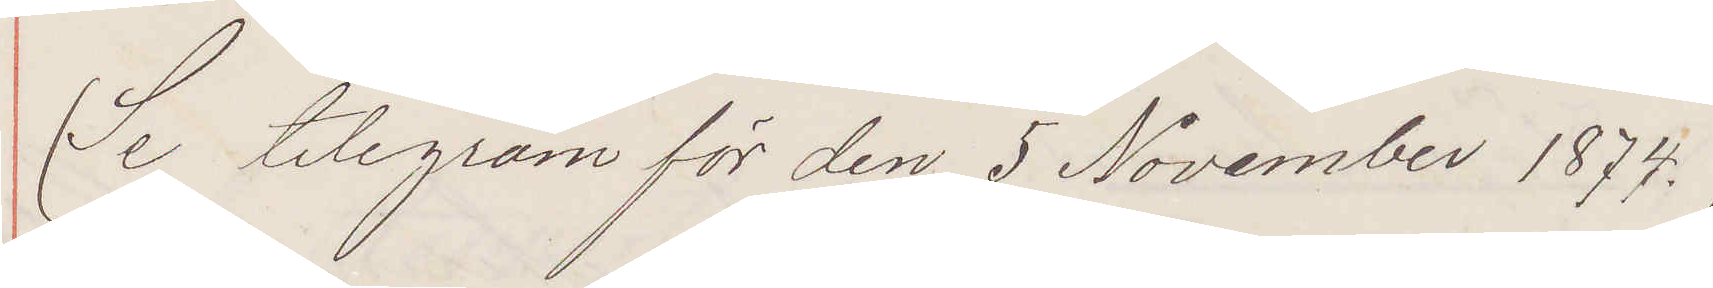(Se telegram för den 5 November 1874.)
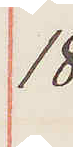18.
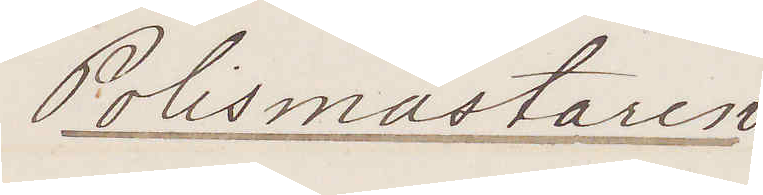Polismästaren
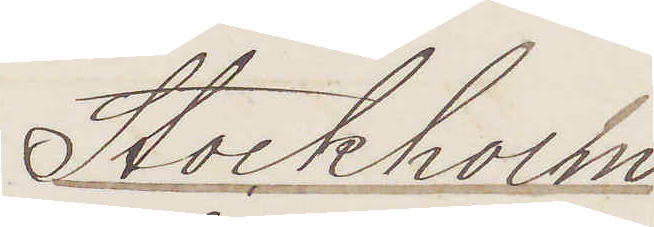Stockholm
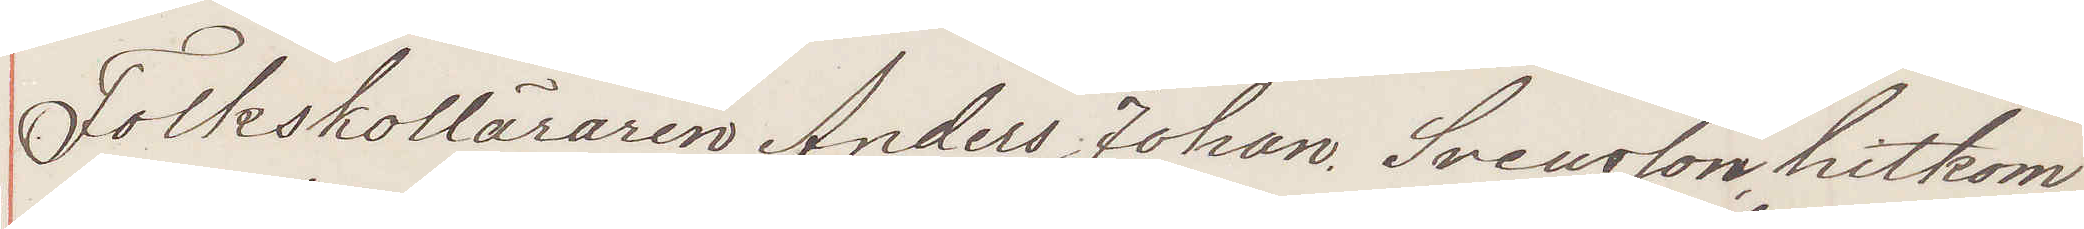Folkskolläraren Anders Johan Svensson, hitkom¬
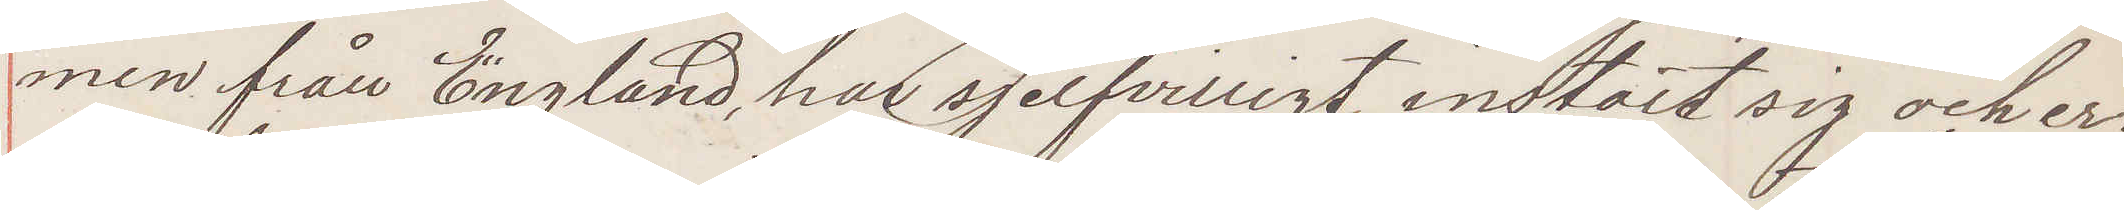men från England, har sjelfvilligt instält sig och er
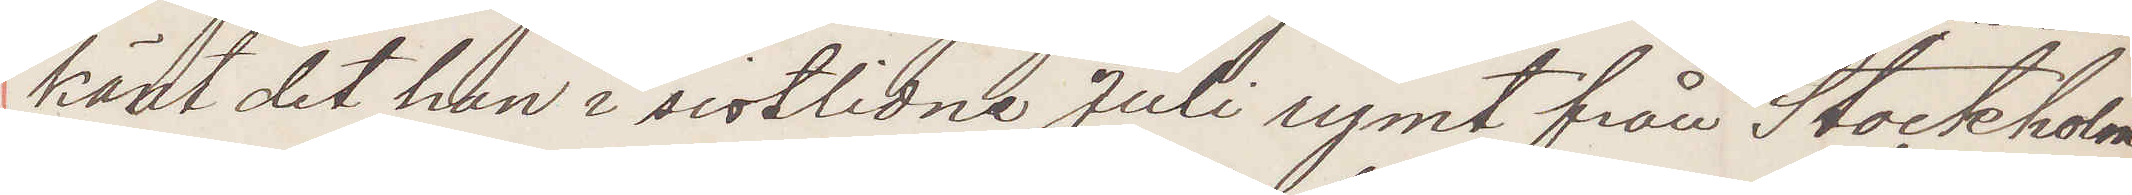känt det han i sistlidne Juli rymt från Stockholm
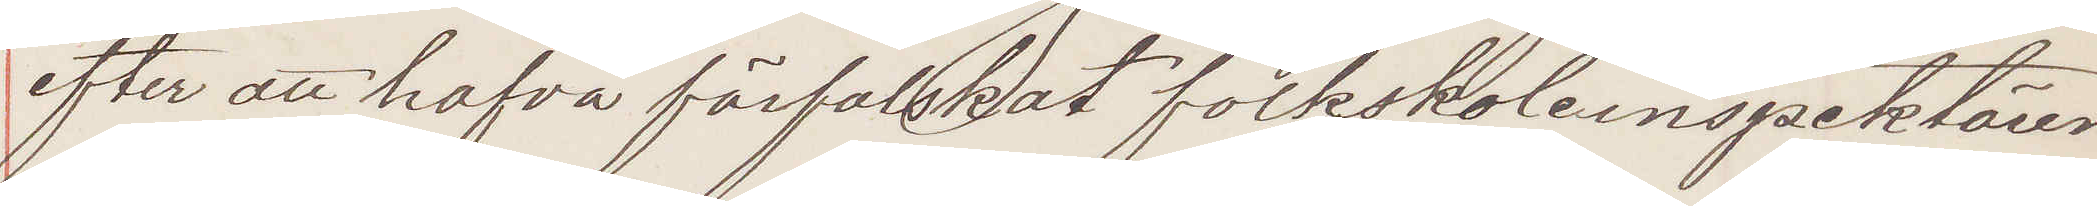efter att hafva förfalskat folkskoleinspektörens
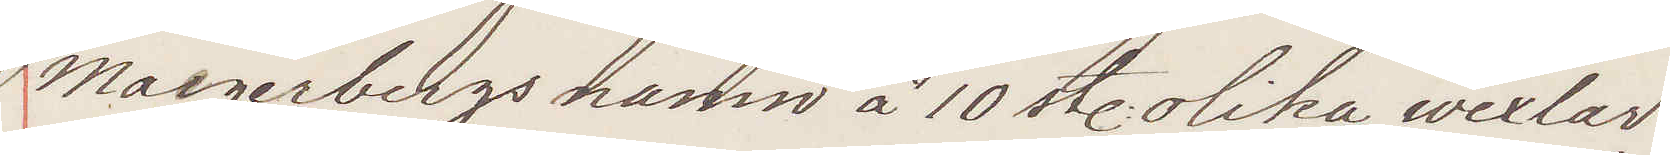Maegerbergs namn å 10 olika wexlar.
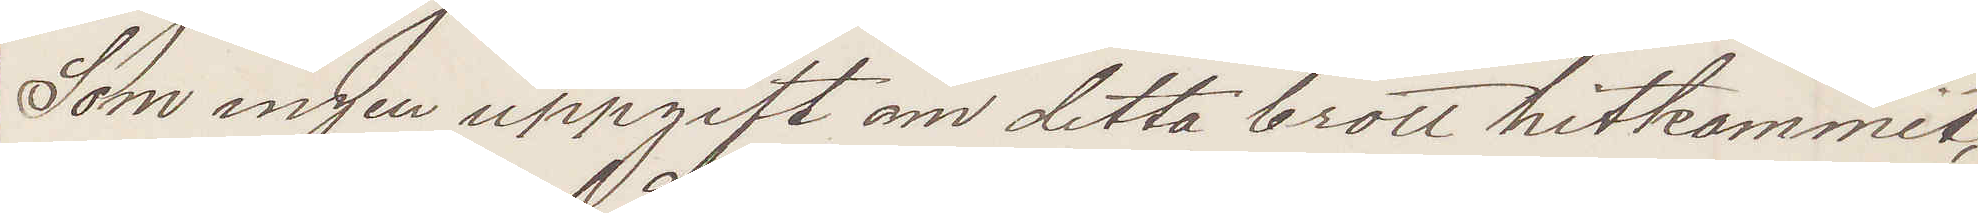Som ingen uppgift om detta brott hitkommit,
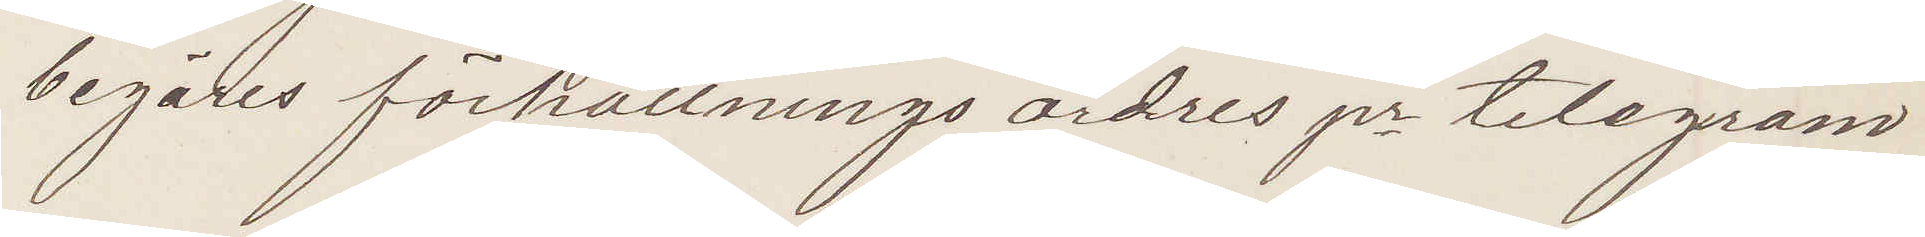begäres förhållningsordres pr telegram!
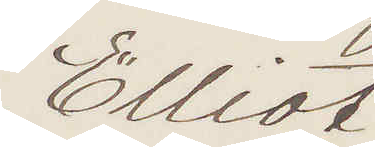Elliot
